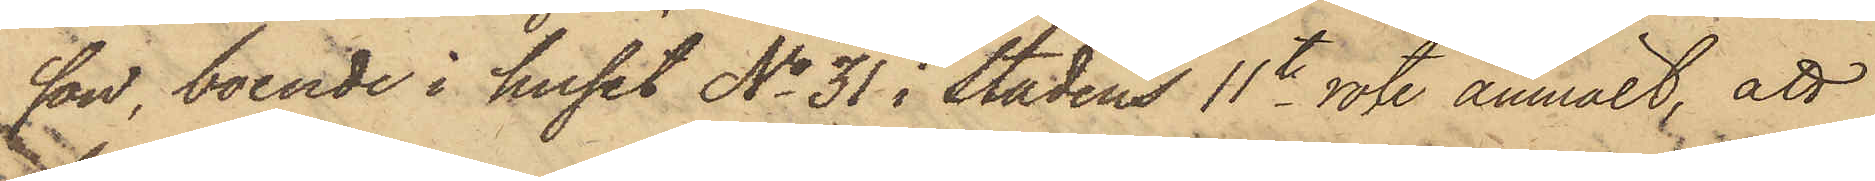son, boende i huset No 31 i stadens 11te rote anmält, att
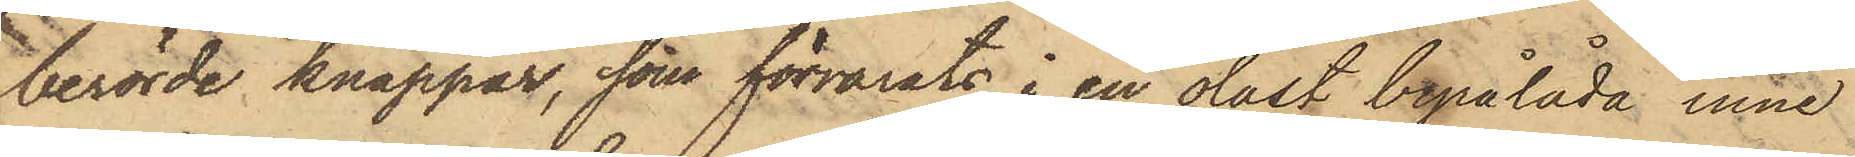berörde knappar, som förvarats i en olåst byrålåda inne
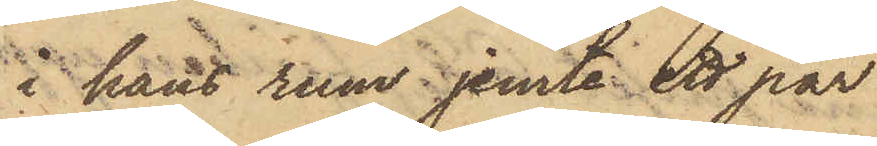i hans rum jemte ett par
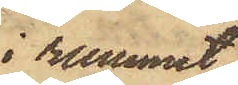i rummet
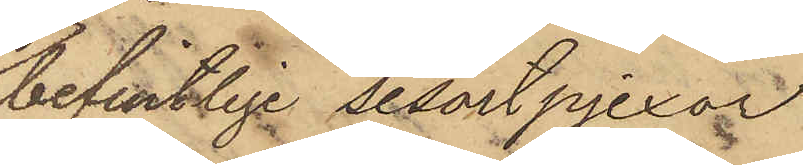befintlige sesortpjexor
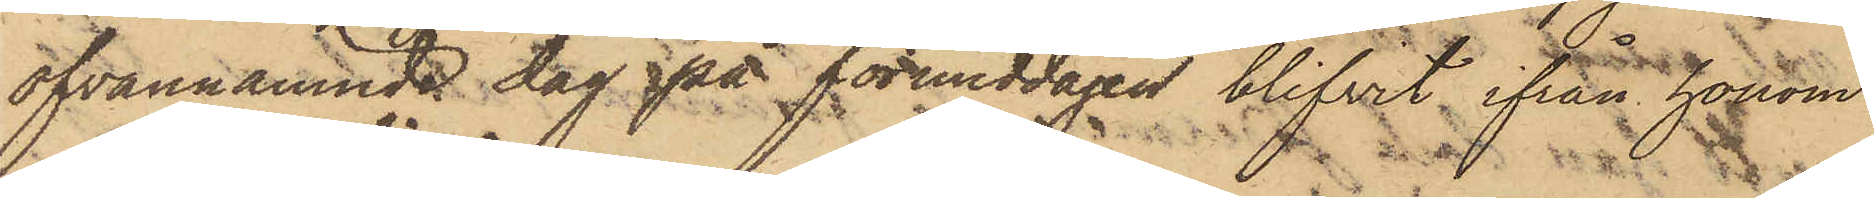ofvannämnde dag på förmiddagen blifvit ifrån honom
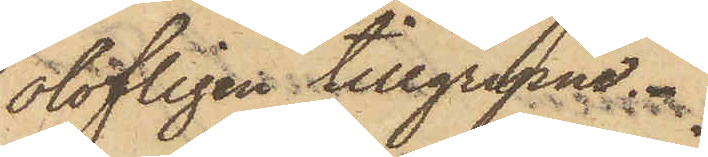olofligen tillgripne.
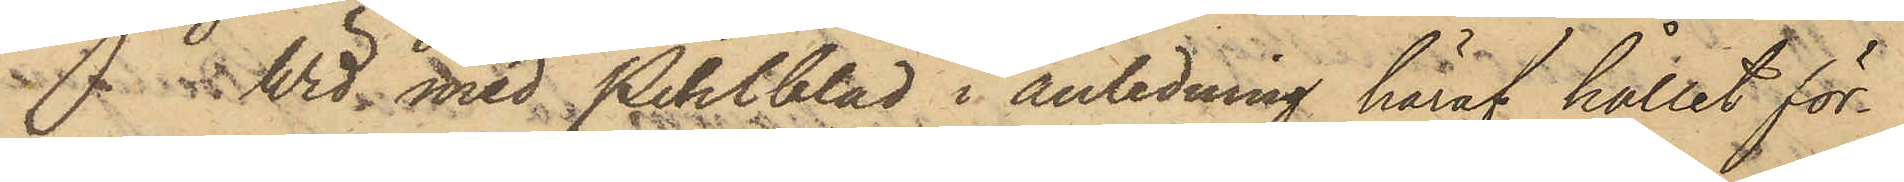Wid med Pihlblad i anledning häraf hållet för¬
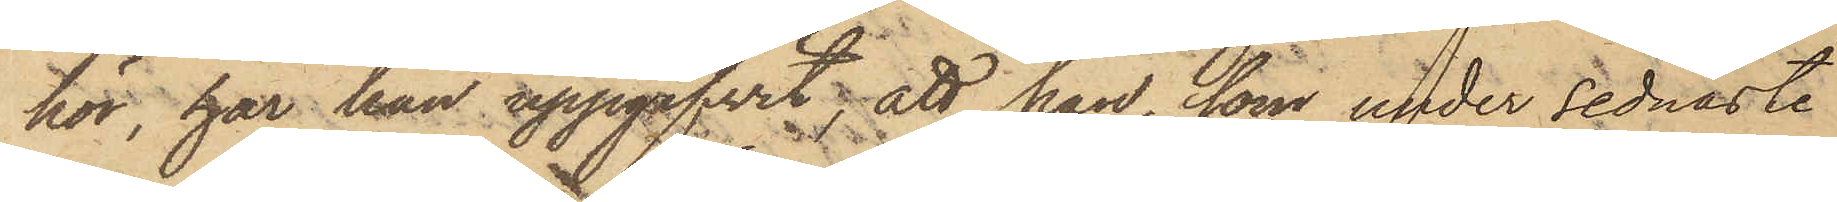hör, har han uppgifvit; att han, som under sednaste
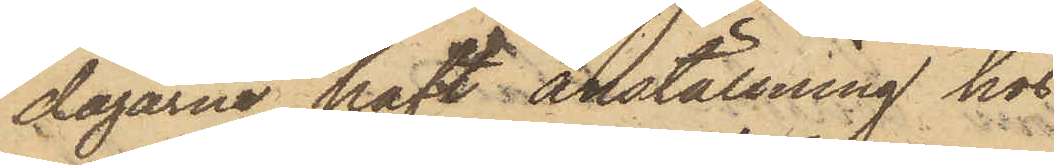dagarne haft anställning hos
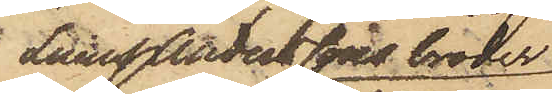Linus Anderssons broder
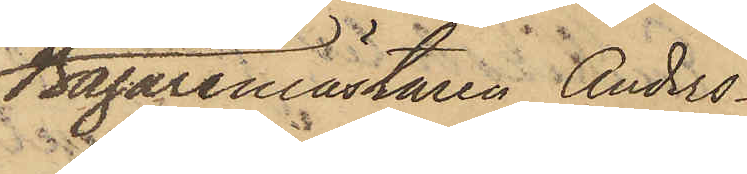Bagaremästaren Anders¬
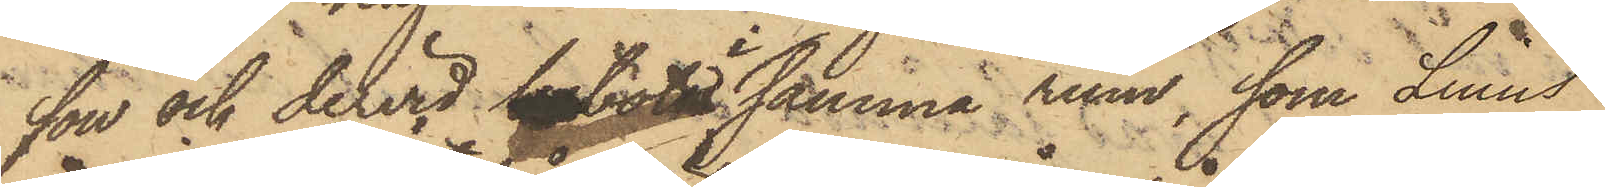son och dervid bebott i samma rum, som Linus
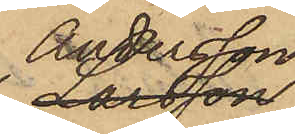Andersson,
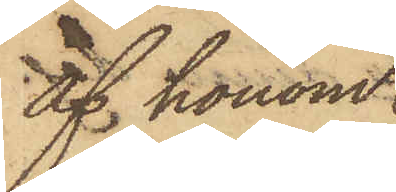af honom
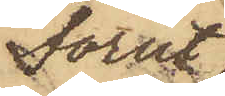förut
